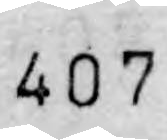407.
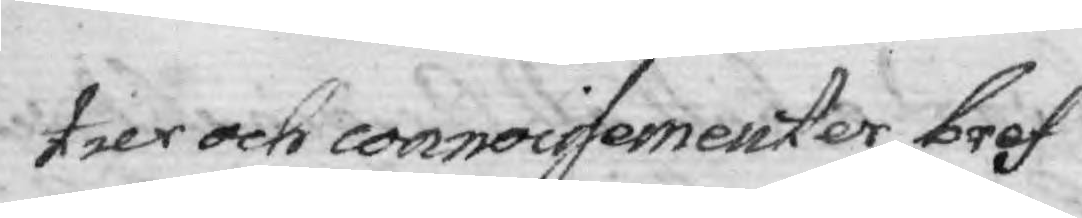tier och connoisementer, bref
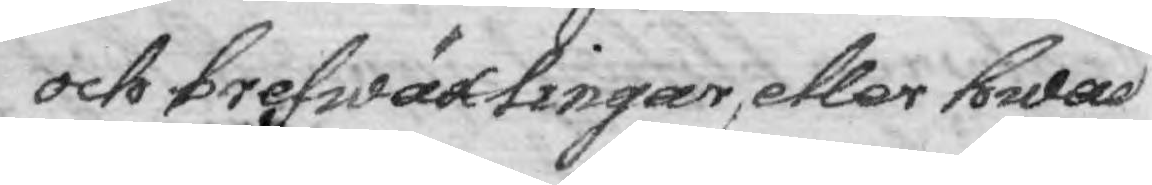och brefwäxlingar, eller hwad
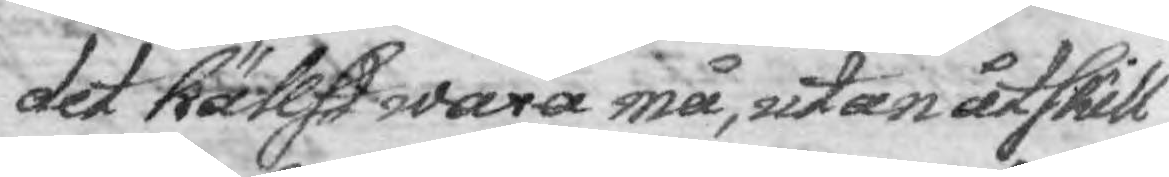det hällst wara må, utan atskill¬
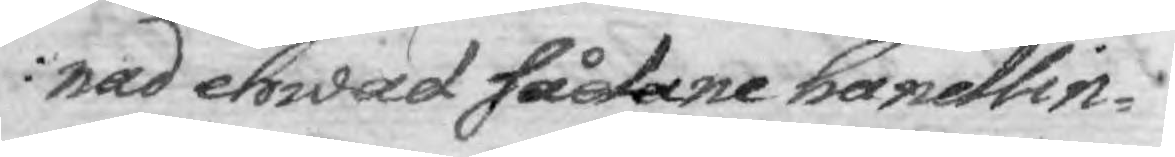nad ehwad sådane handlin¬
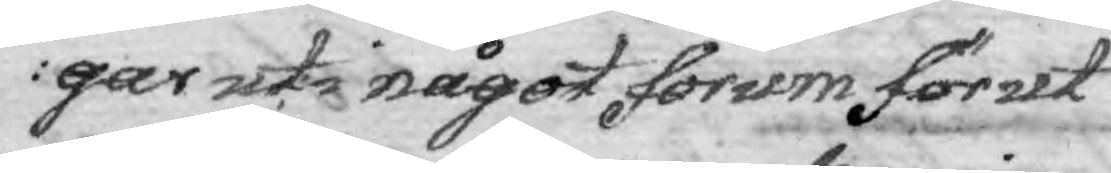gar uti något forum förut
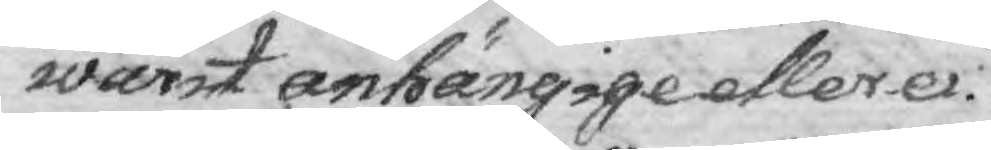warit anhängige eller ei.
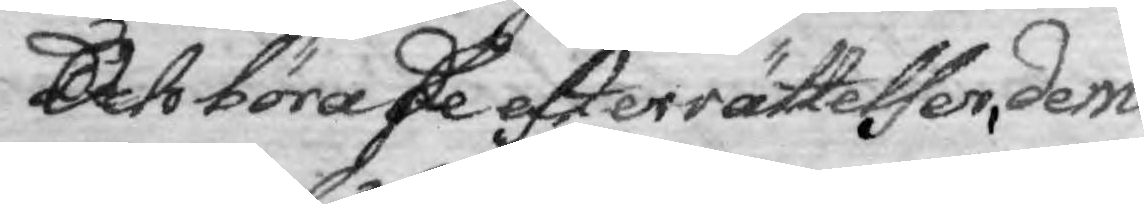Och böra de efterrättelser, dem 
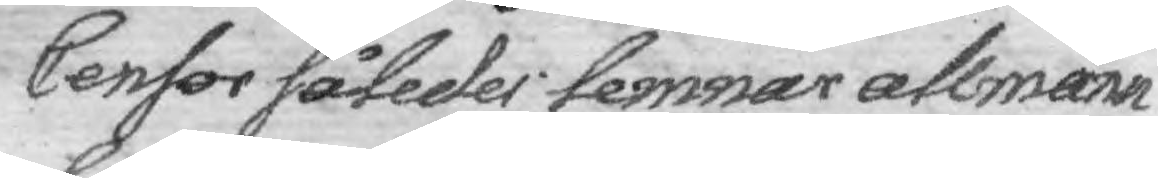Censor således lemnar allmänn¬
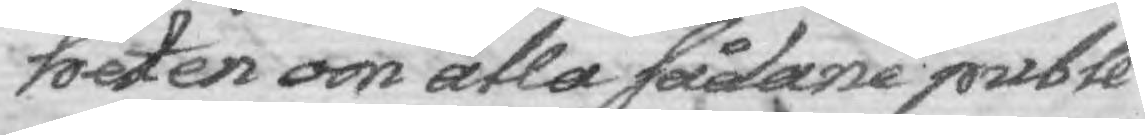heten om alla sådane publi¬
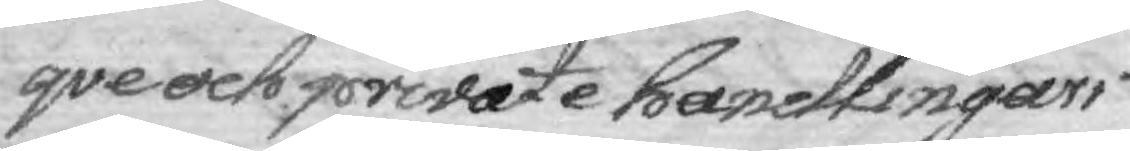qve och private handlingars
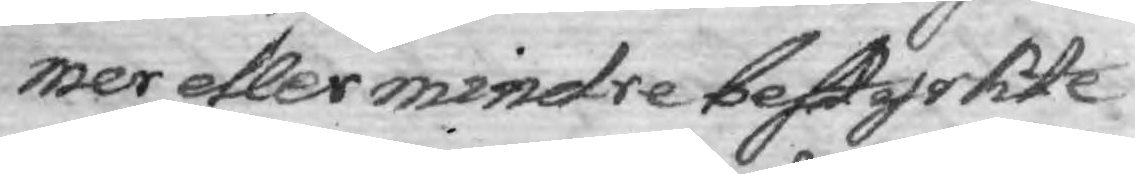mer etler mindre bestyrkte
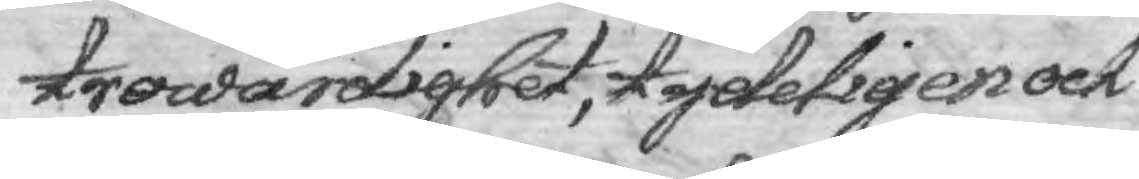trowärdighet, tydeligen och
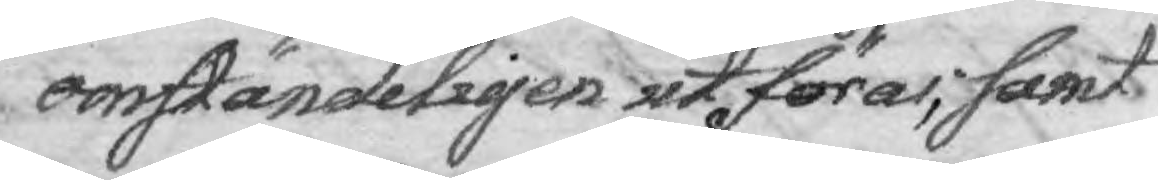omständekigen utföras, samt
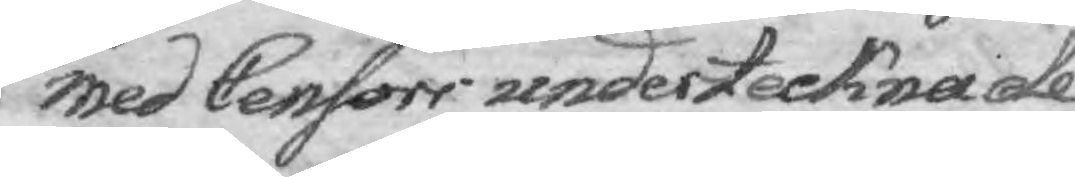med Censor undertecknade
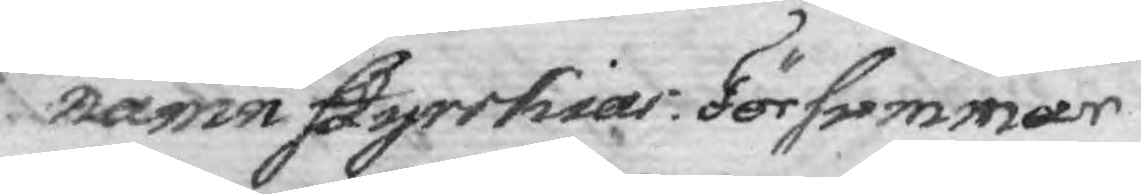namn styrkias. Försummar
